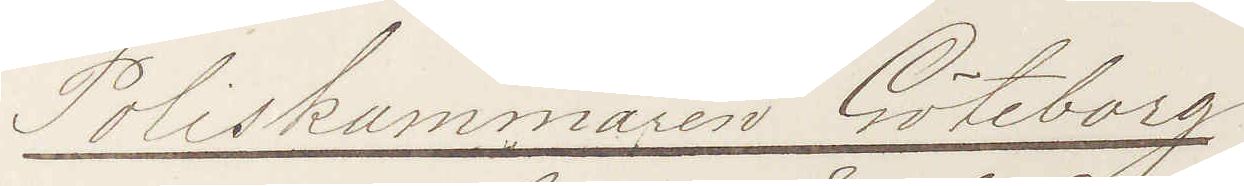Poliskammaren Göteborg
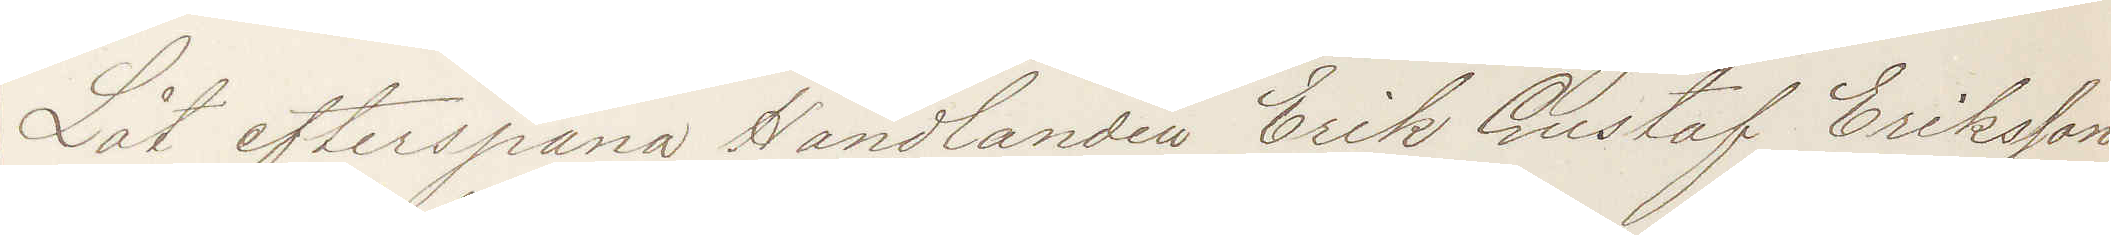Låt efterspana Handlanden Erik Gustaf Eriksson
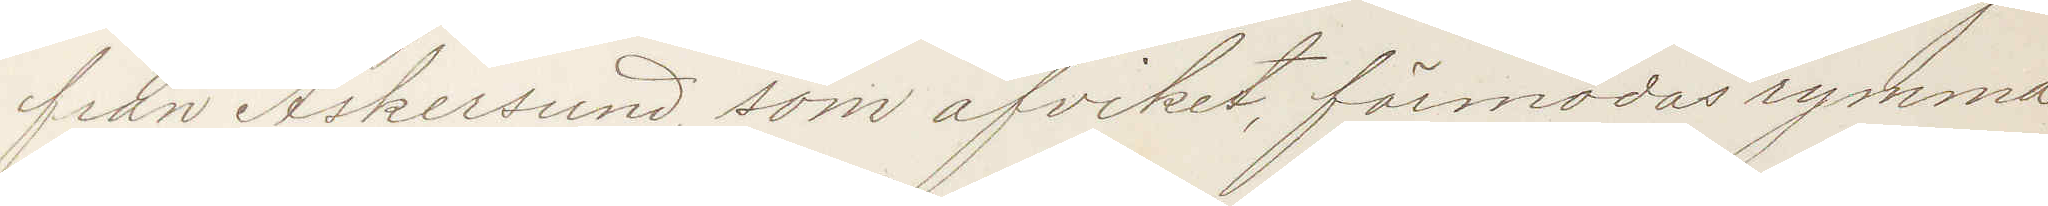från Askersund, som afviket, förmodas rymma
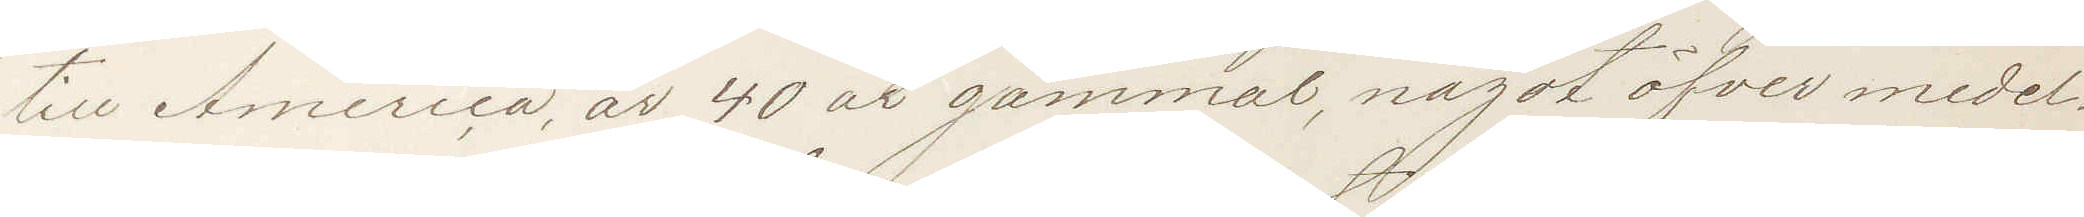till America, är 40 år gammal, något öfver medel
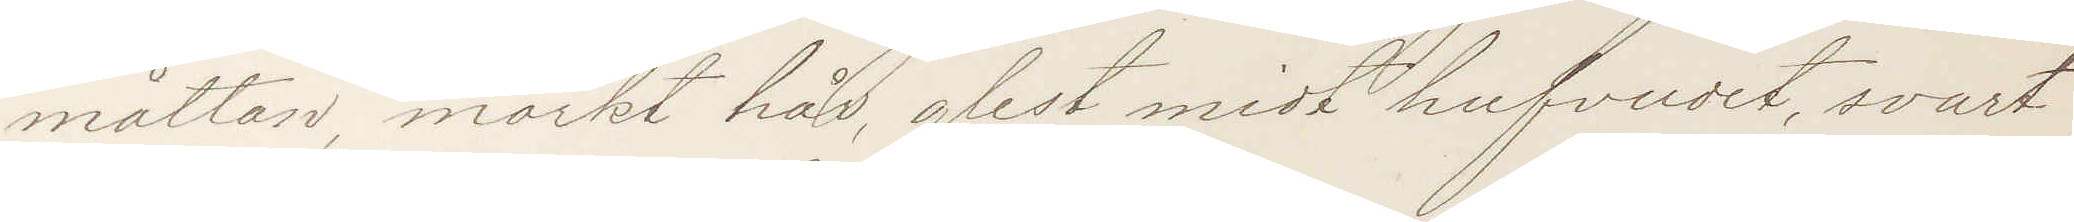måttan, mörkt hår, glest midt hufvudet, svart
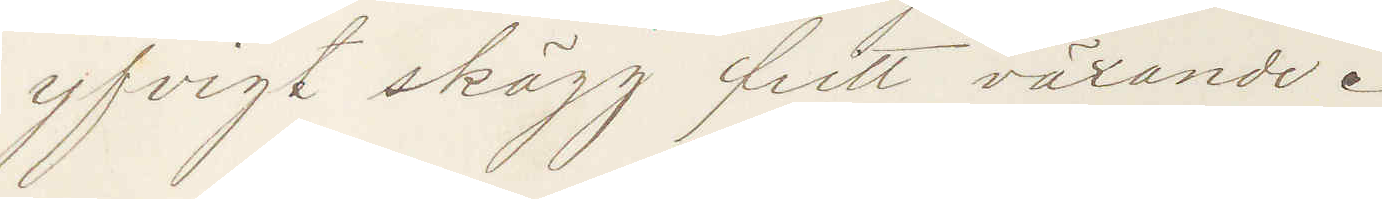yfvigt skägg fritt växande.
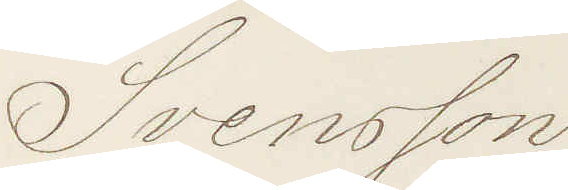Svensson
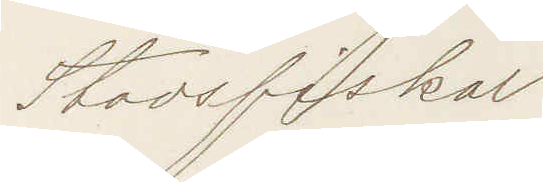Stadsfiskal
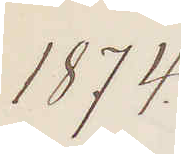1874
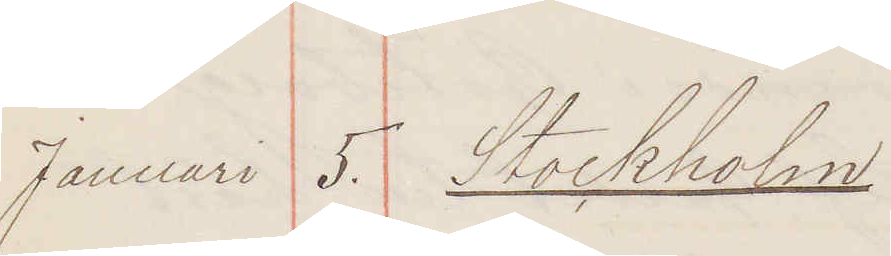Januari 5. Stockholm
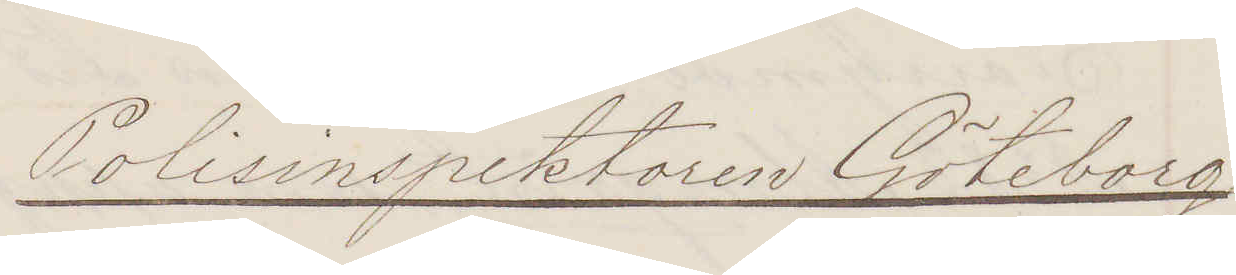Polisinspektorn Göteborg
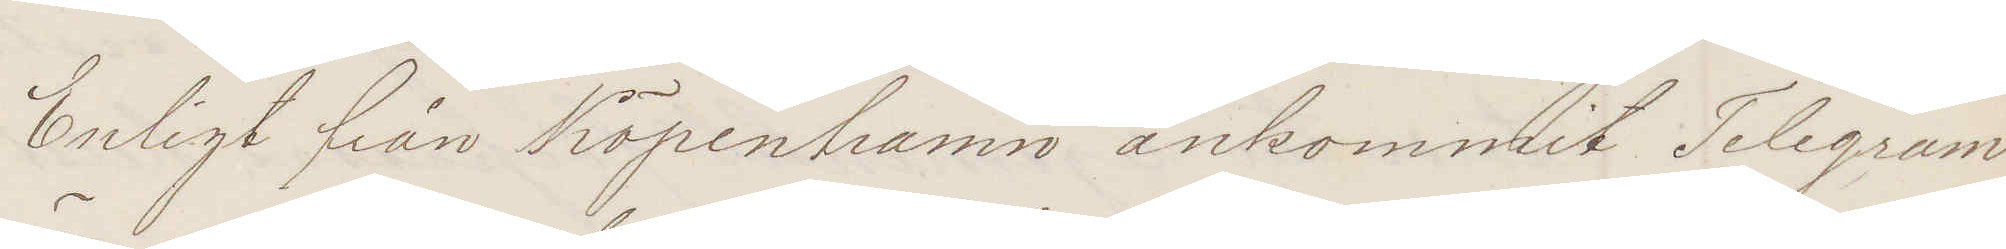Enligt från Köpenhamn ankommit Telegram
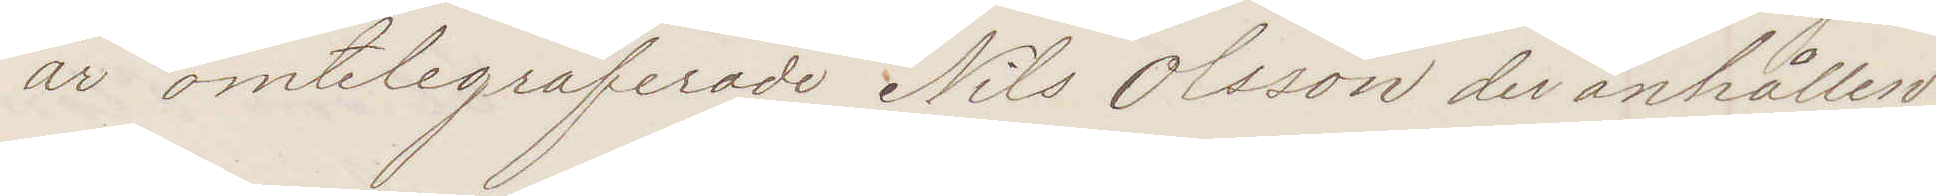är omtelegraferade Nils Olsson der anhållen
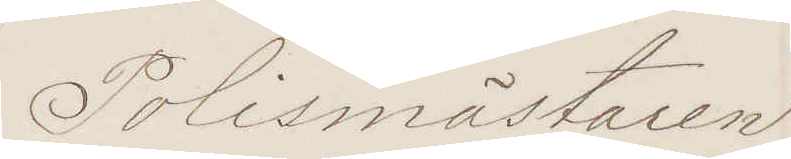Polismästaren
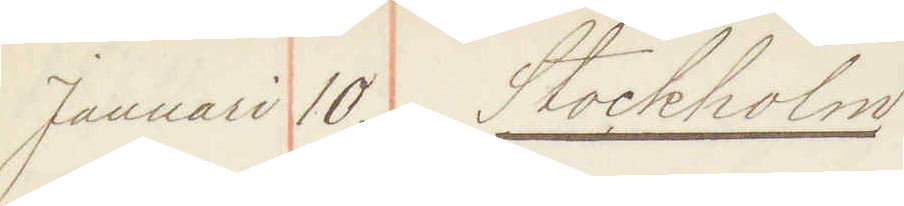Januari 10. Stockholm
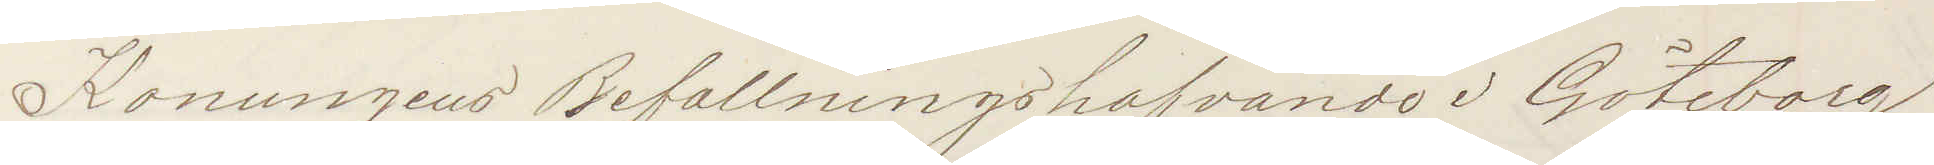Konungens  Befallningshafvande i Göteborg
